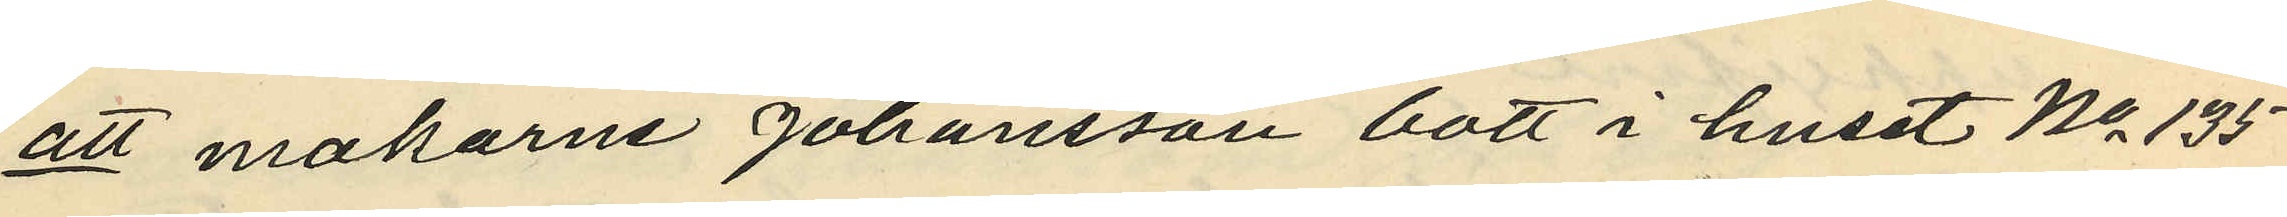att makarne Johansson bott i huset No 135
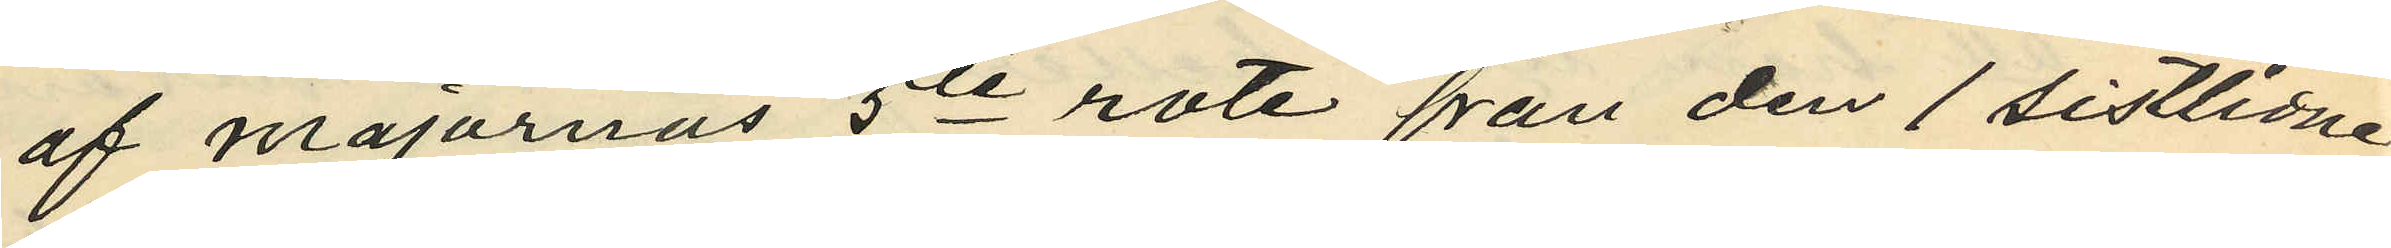af majornas 5te rote från den 1 sistlidne
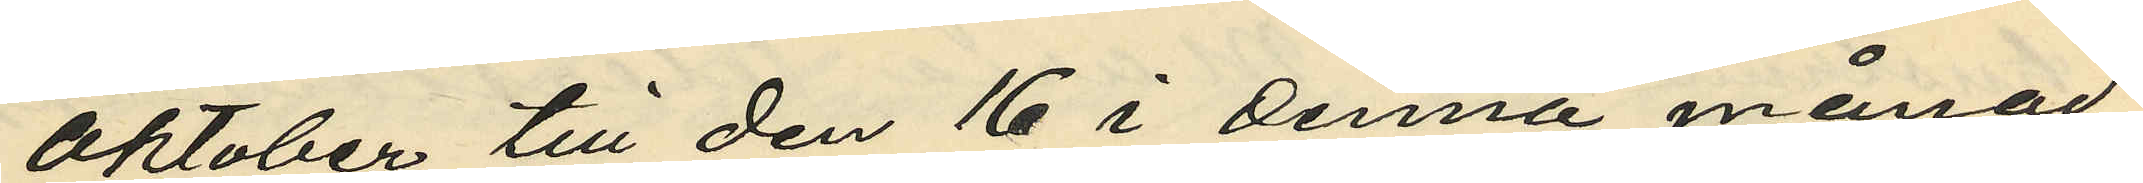Oktober till den 16 i denna månad;
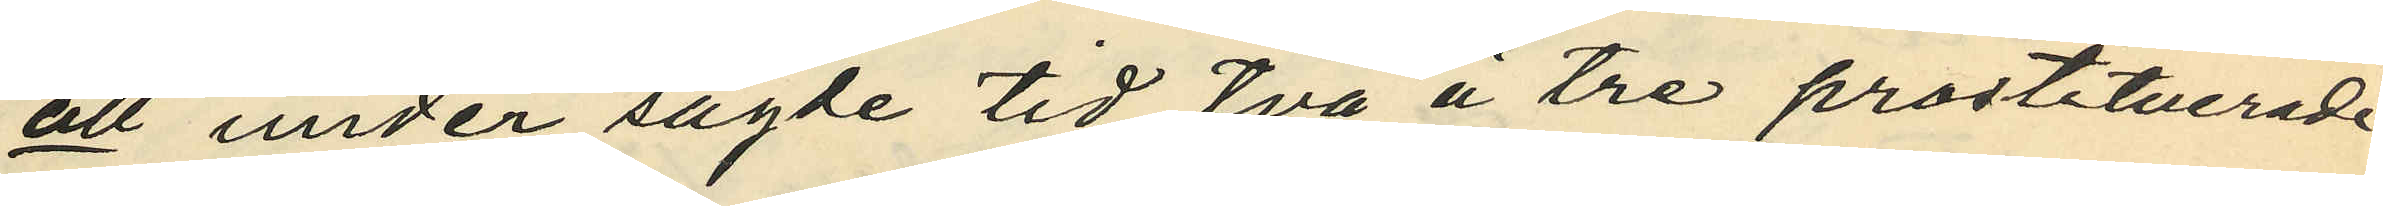att under sagde tid två à tre prostituerade
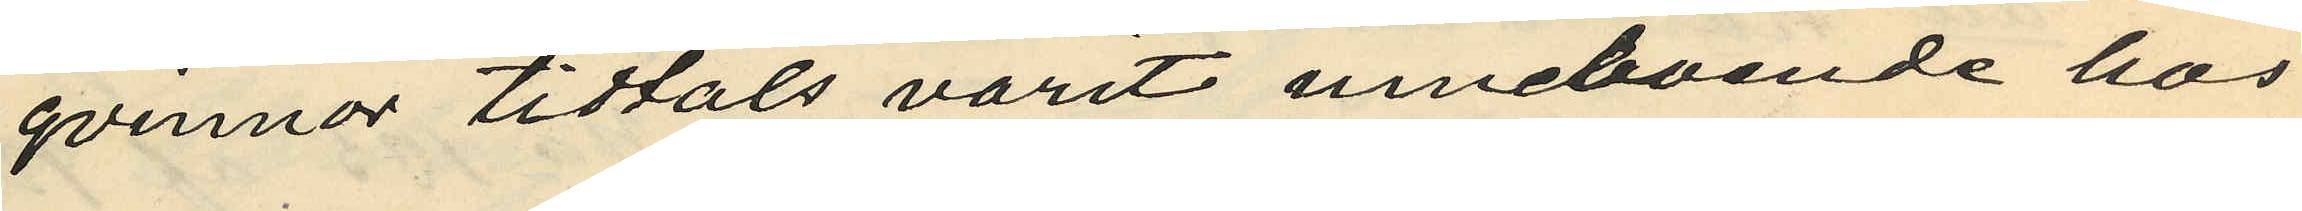qvinnor tidtals varit inneboende hos
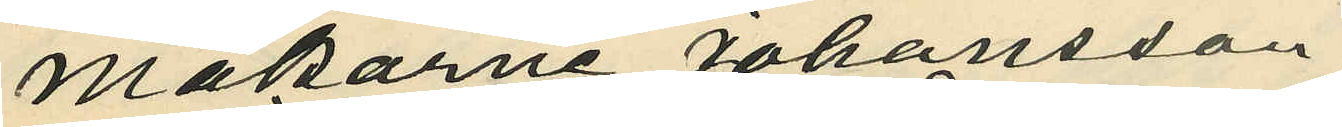makarne Johansson
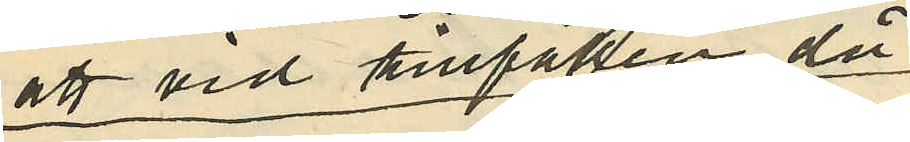att vid tillfällen då
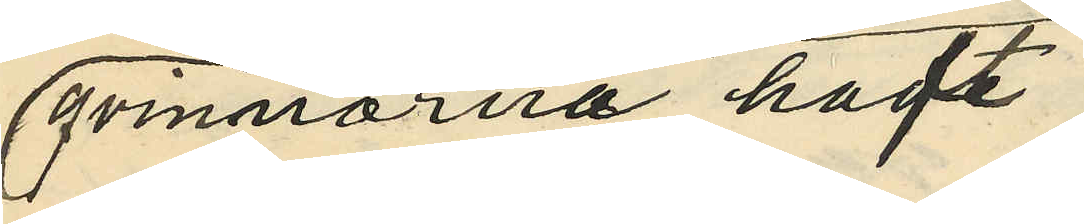qvinnorna haft
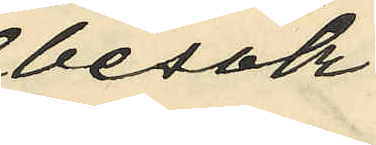besök
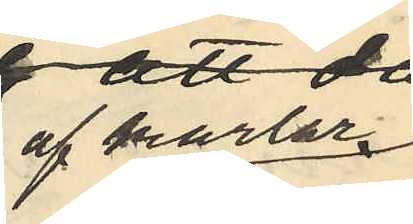af karlar
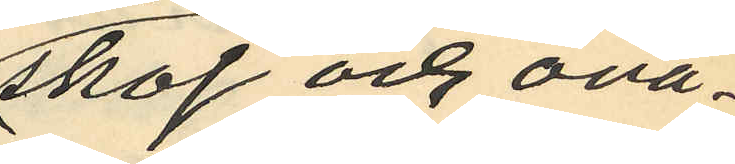skoj och ovä¬
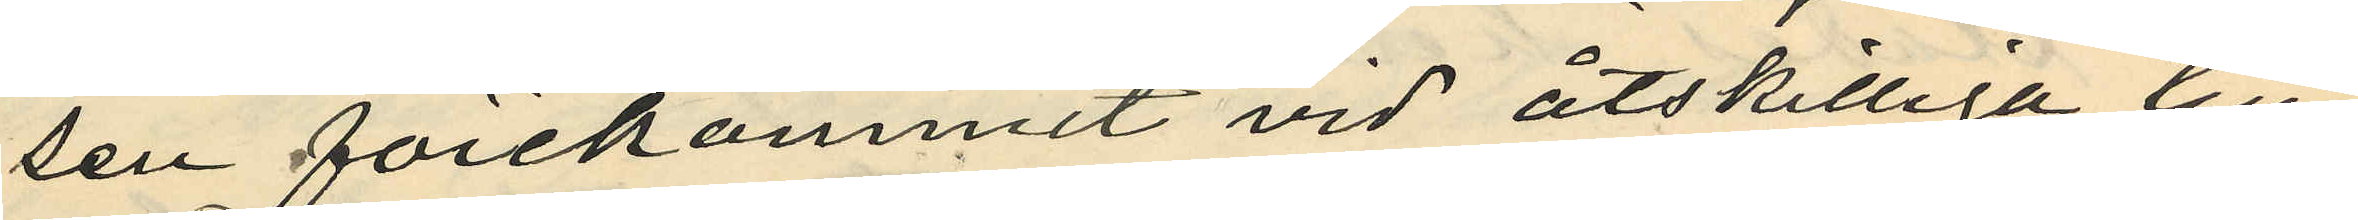sen förekommit vid åtskilliga till¬
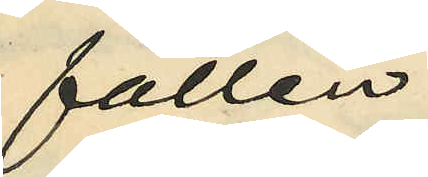fällen;
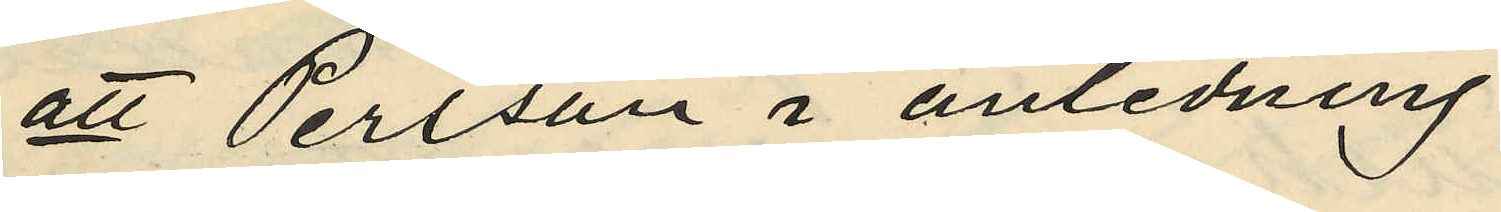att  Persson i anledning
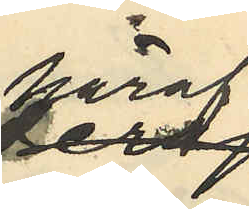häraf
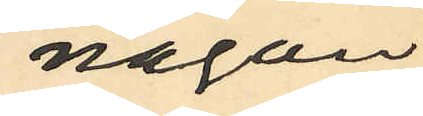någon
